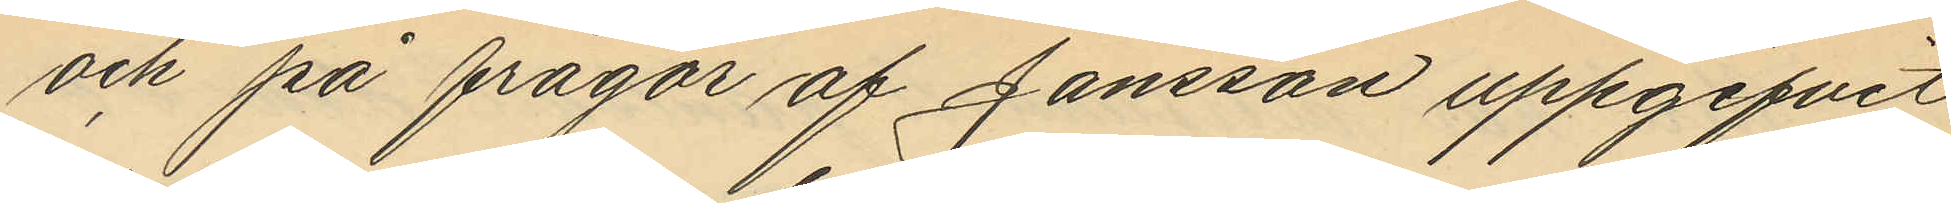och på frågor af Jansson uppgifvit
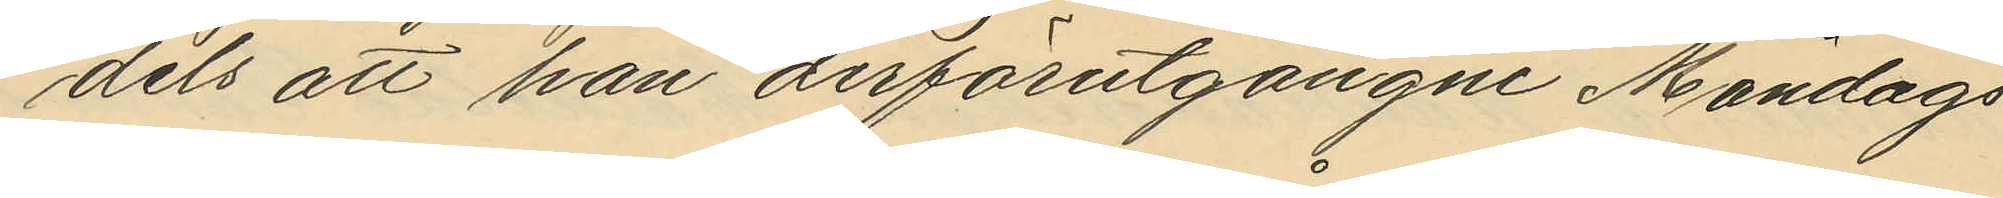dels att han derförutgångne Måndags
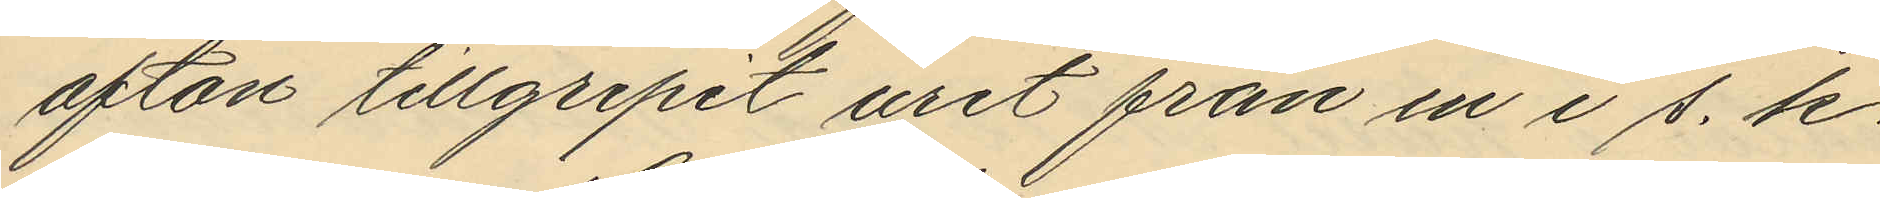afton tillgripit uret från en i s. k.
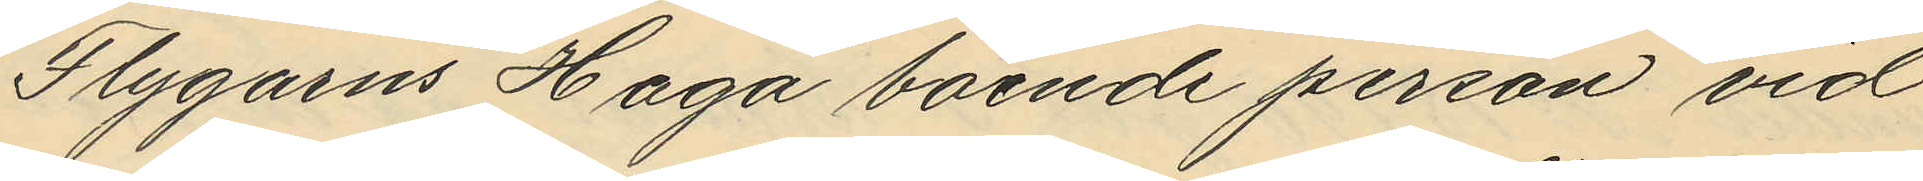Flygarns Haga boende person vid
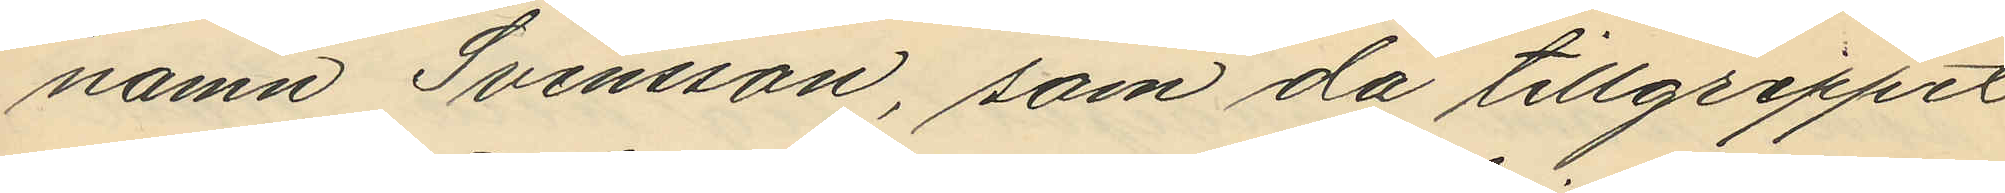namn Svensson, som då tillgreppet
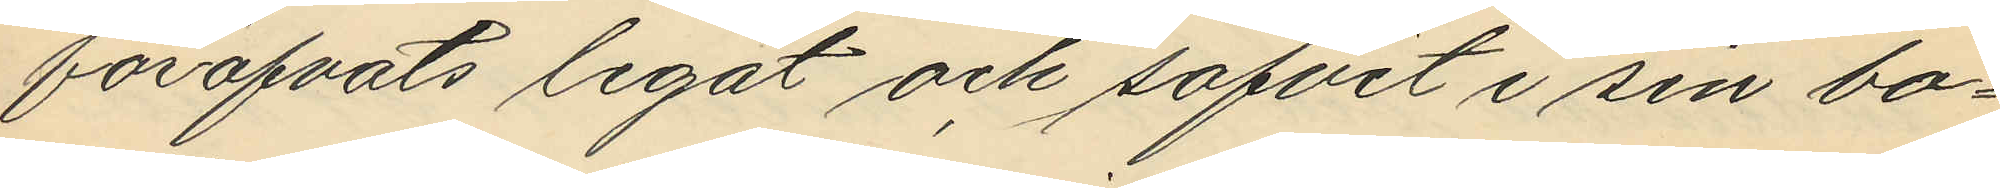föröfvats legat och sofvit i sin bo¬
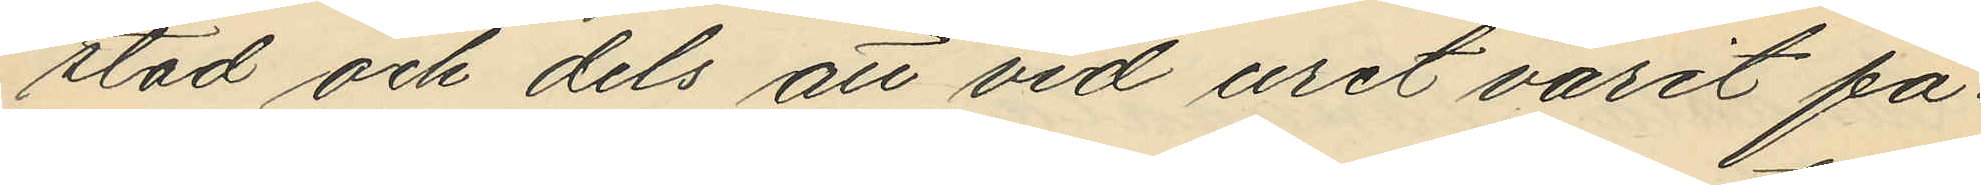stad och dels att vid uret varit fä¬
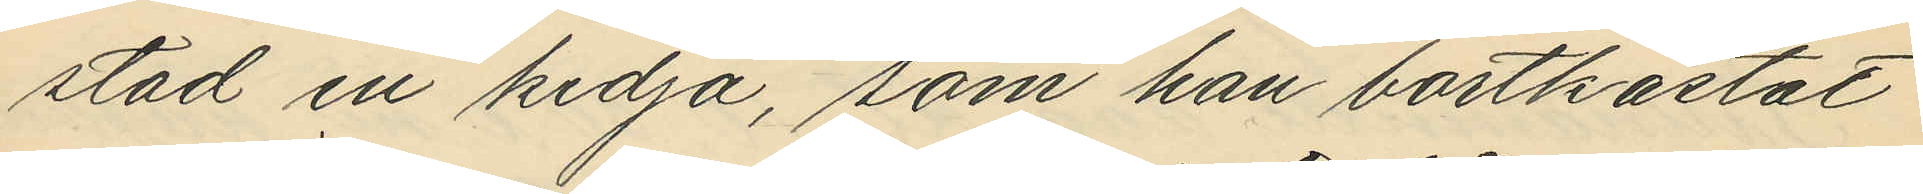stad en kedja, som han bortkastat
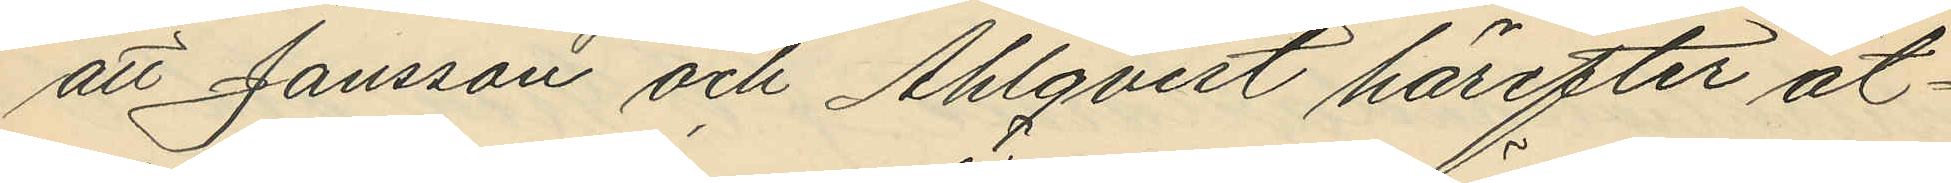att Jansson och Ahlqvist härefter åt¬
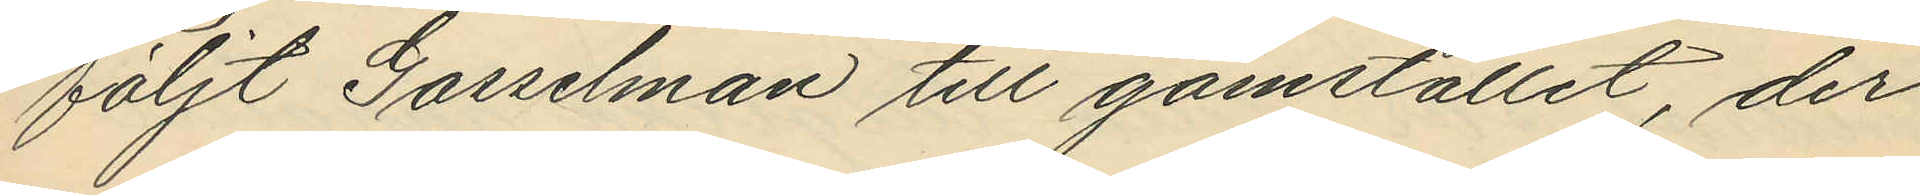följt Gosselman till gömstället, der
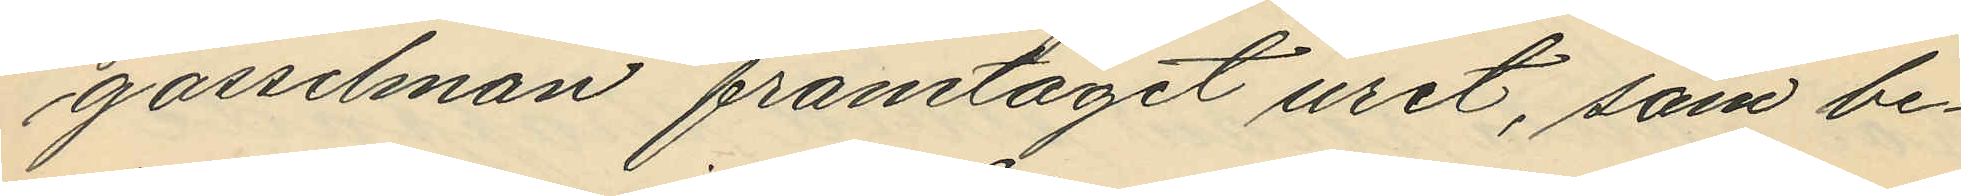gosselman framtagit uret, som be¬
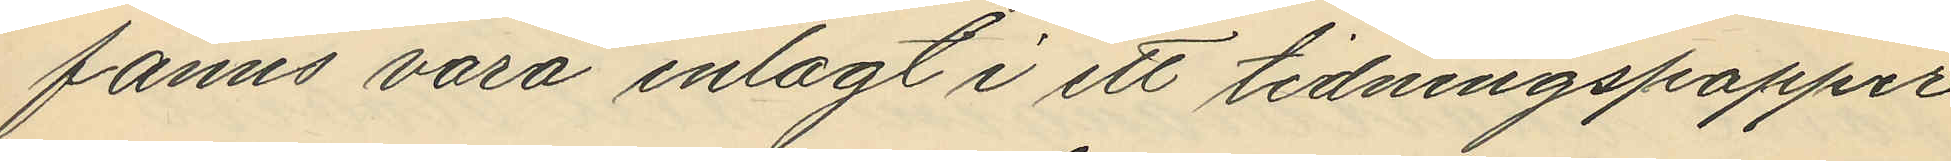fanns vara inlagt i ett tidningspapper
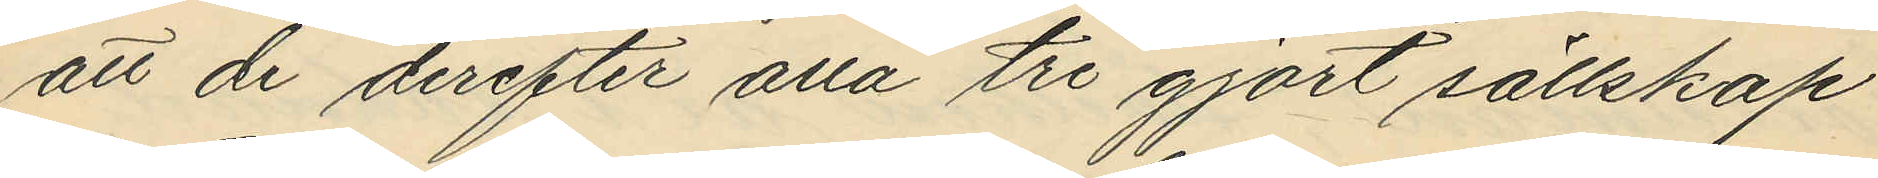att de derefter alla tre gjort sällskap
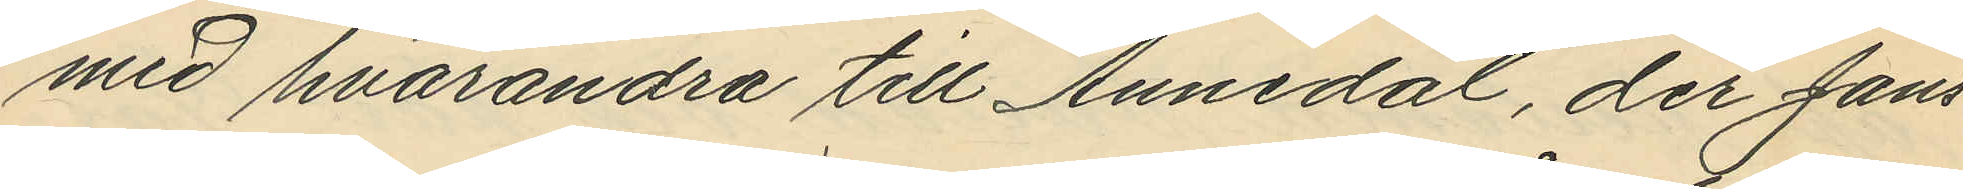med hvarandra till Annedal, der Jans¬
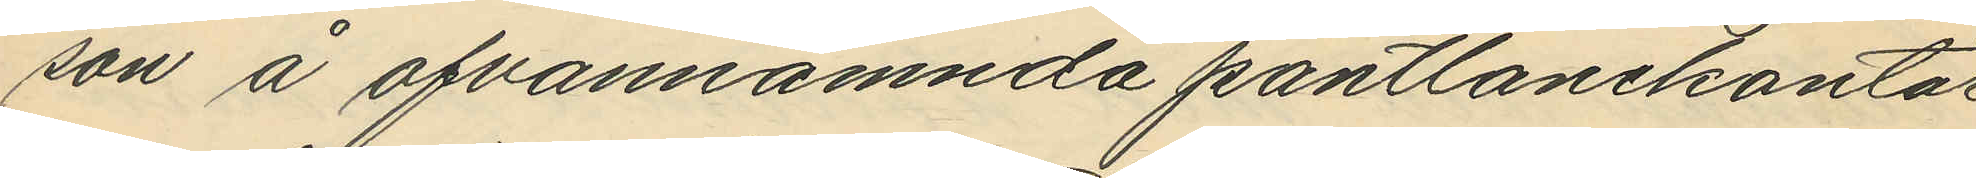son å ofvannämnda pantlånekontor
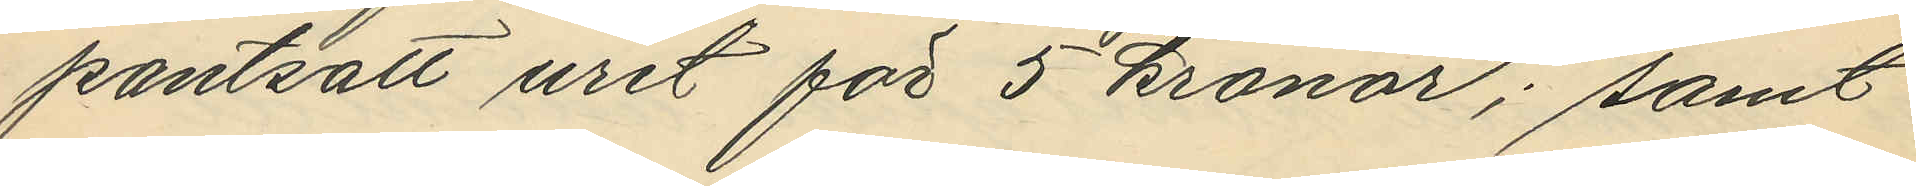pantsatt uret för 5 kronor; samt
